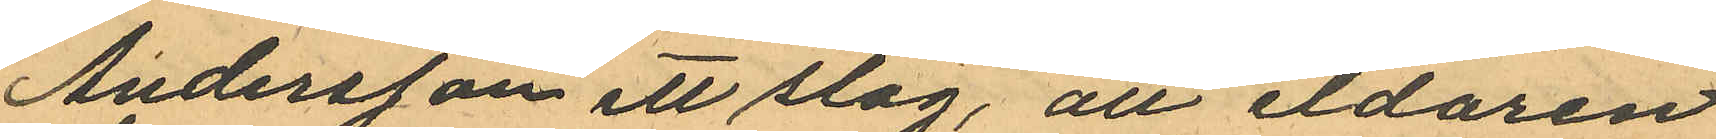Andersson ett slag, att eldaren
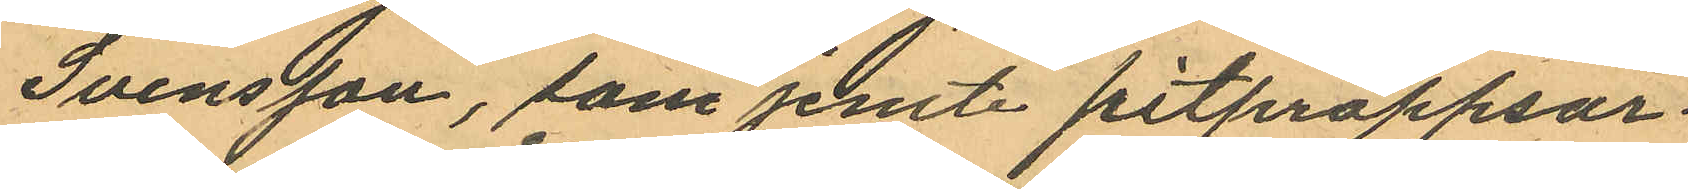Svensson, som jemte pitproppsar¬
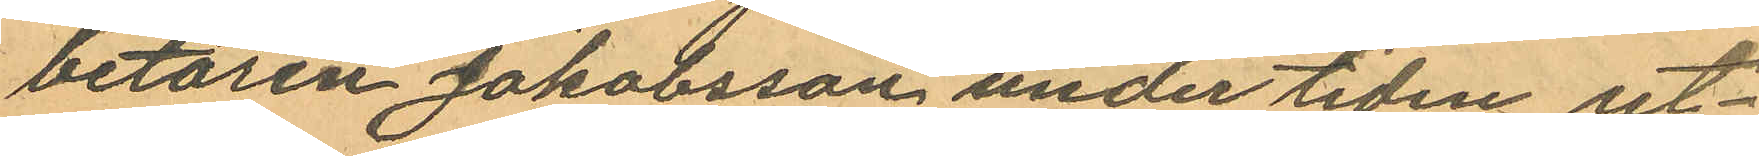betaren Jakobsson under tiden ut¬
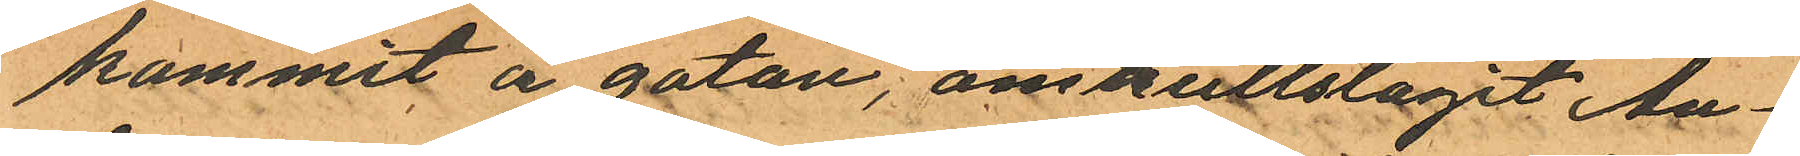kommit å gatan, omskullslagit An¬
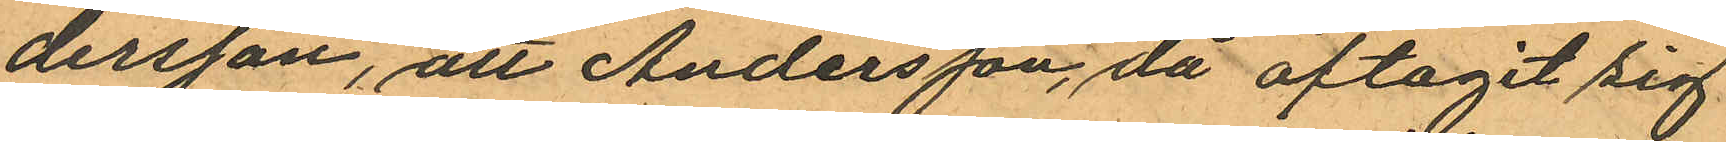dersson, att Andersson, då aftagit sig
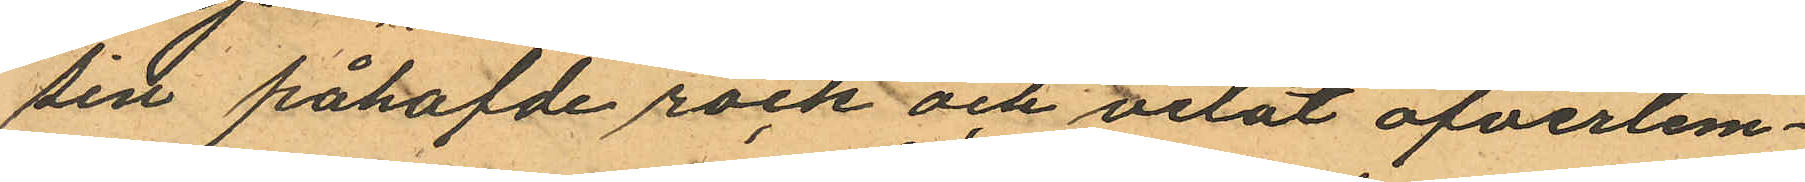sin påhafvde rock och velat öfverlem¬
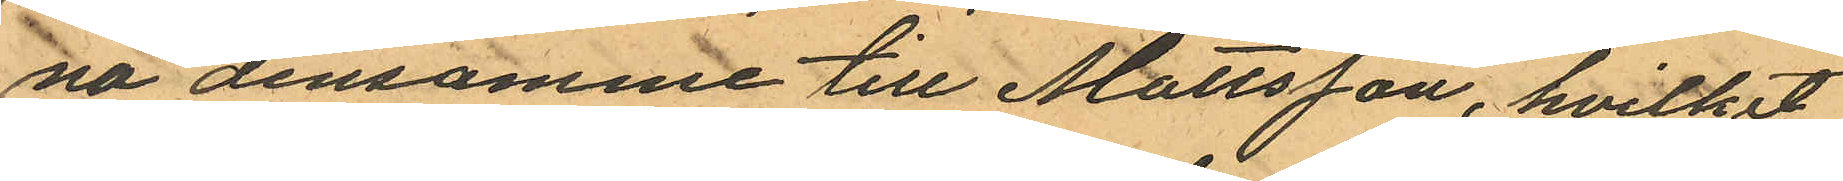na densamme till Mattsson, hvilket
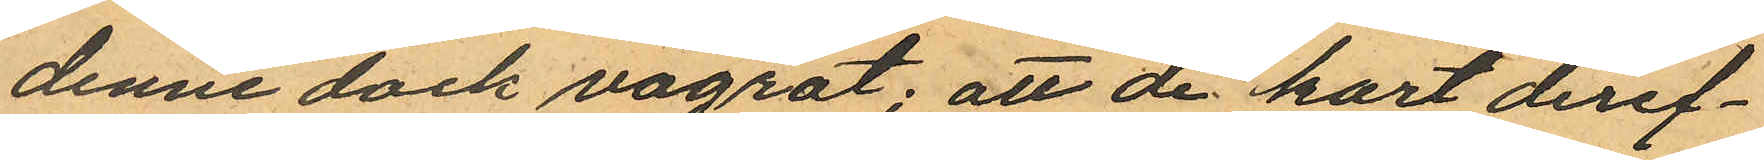denne dock vägrat; att de kort deref¬
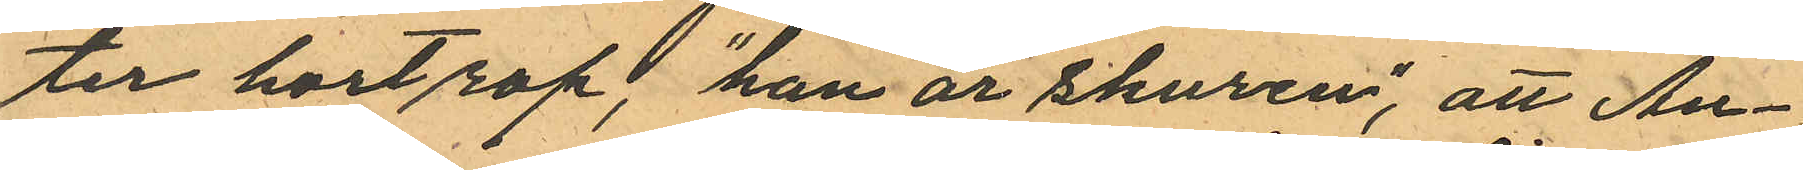ter hort rop, "han är skuren", att An¬
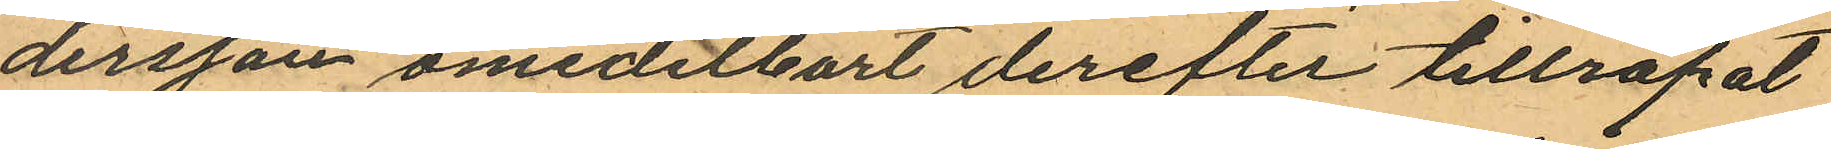dersson omedelbart derefter tillropat
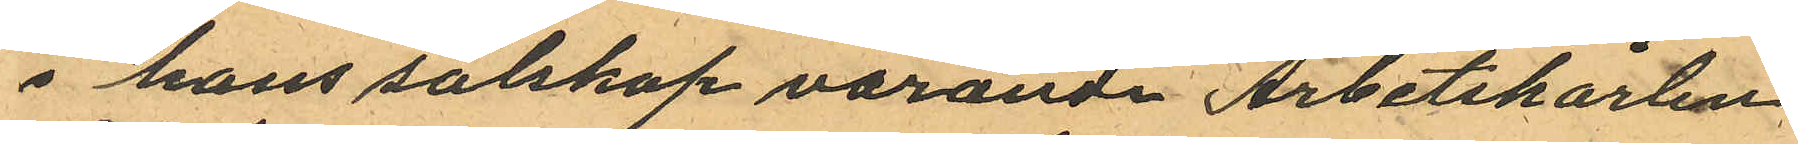i hans sälskap varande Arbetskarlen
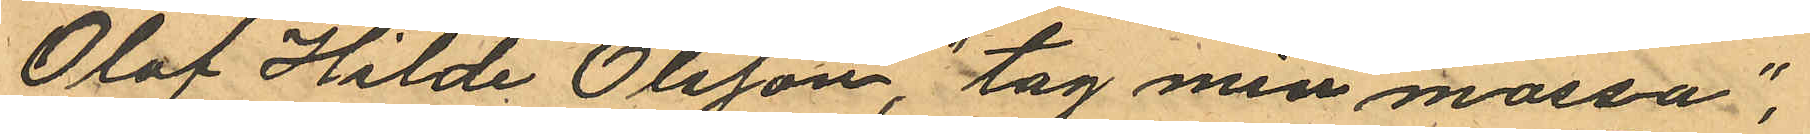Olof Hilde Olsson, "tag min mössa";
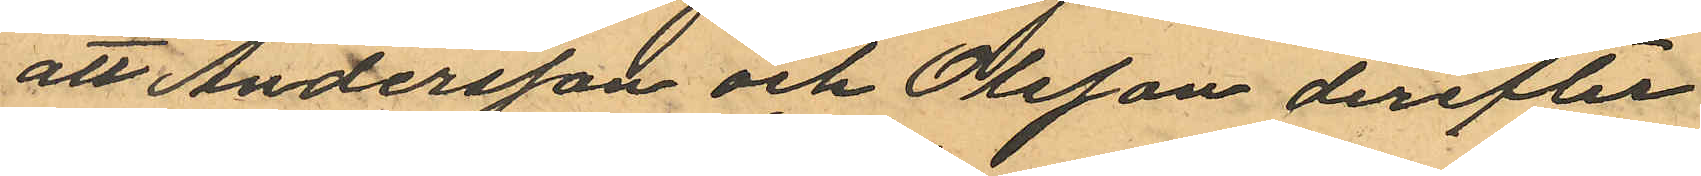att Andersson och Olsson derefter
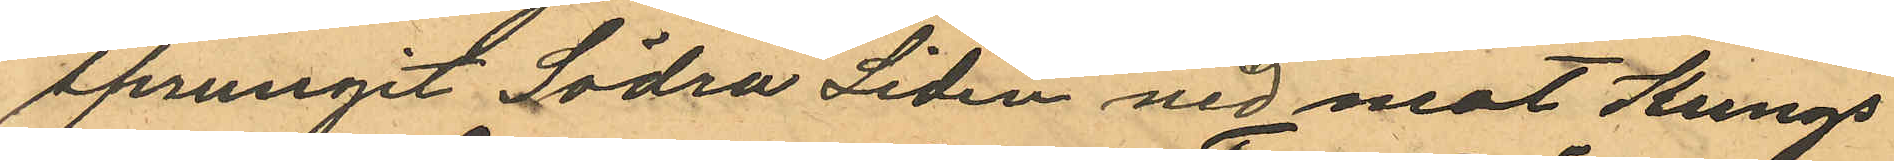sprungit Södra Liden ned mot Kungs¬
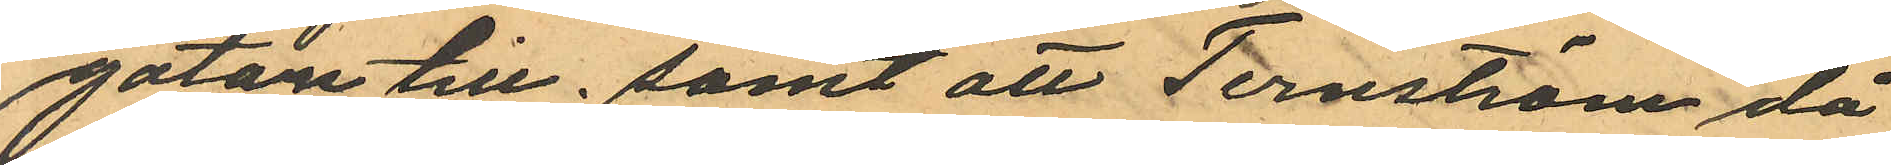gatan till; samt att Ternström, då
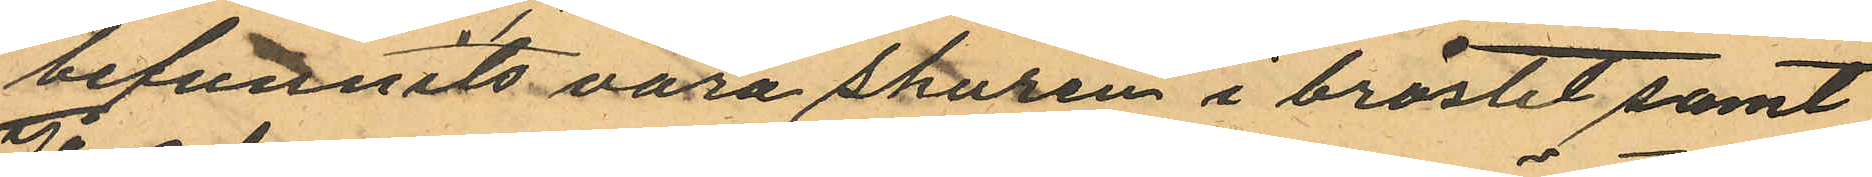befunnits vara skuren i bröstet samt
